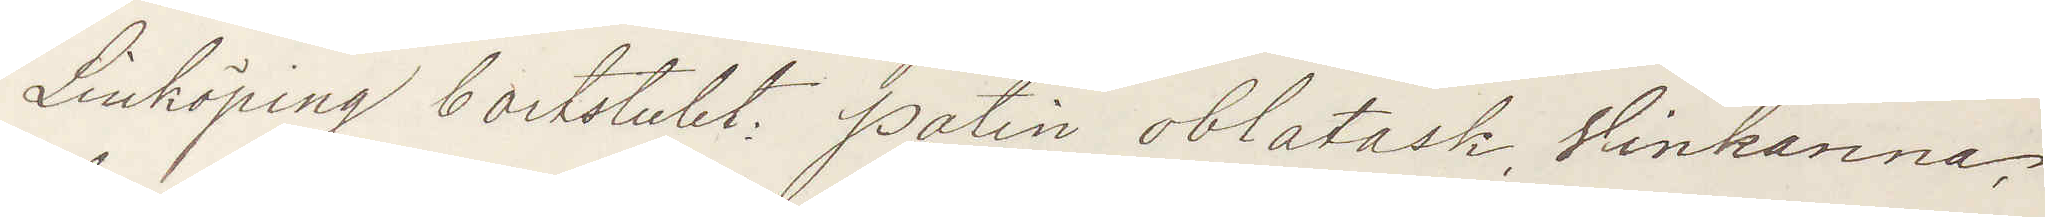Linköping bortstulet: patin oblatask, Vinkanna,
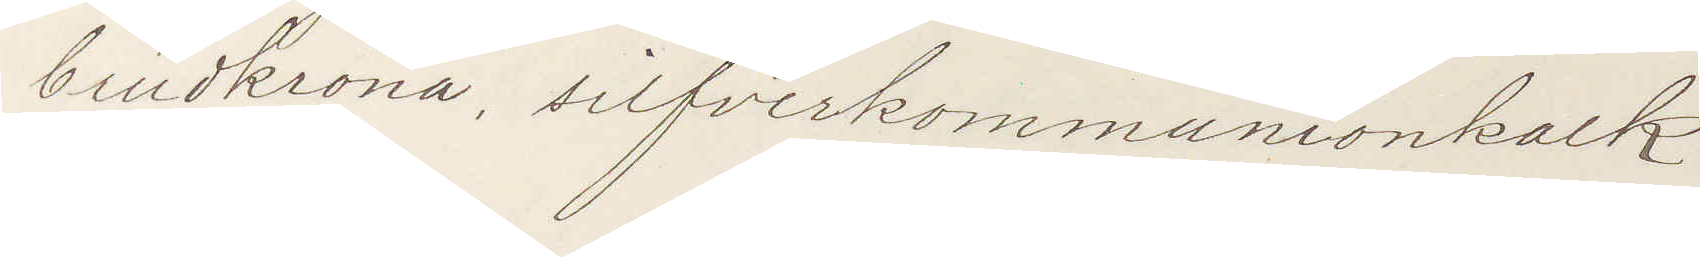brudkrona, silfverkommunionskalk.
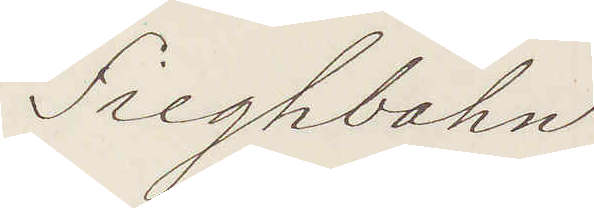Sieghbahn
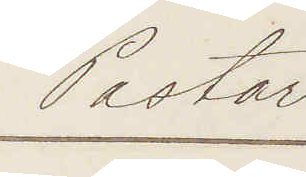Pastor.
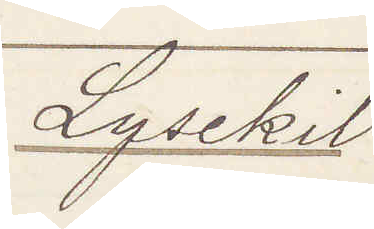Lysekil:
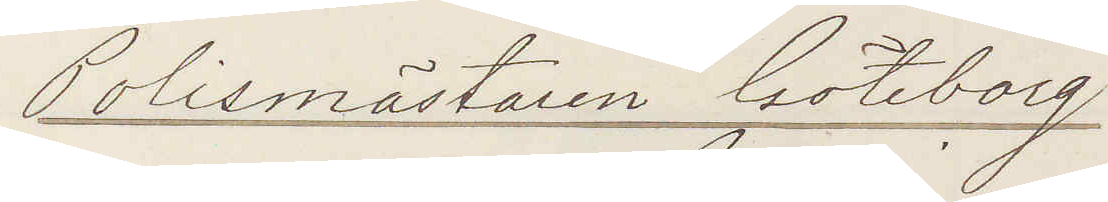Polismästaren Göteborg
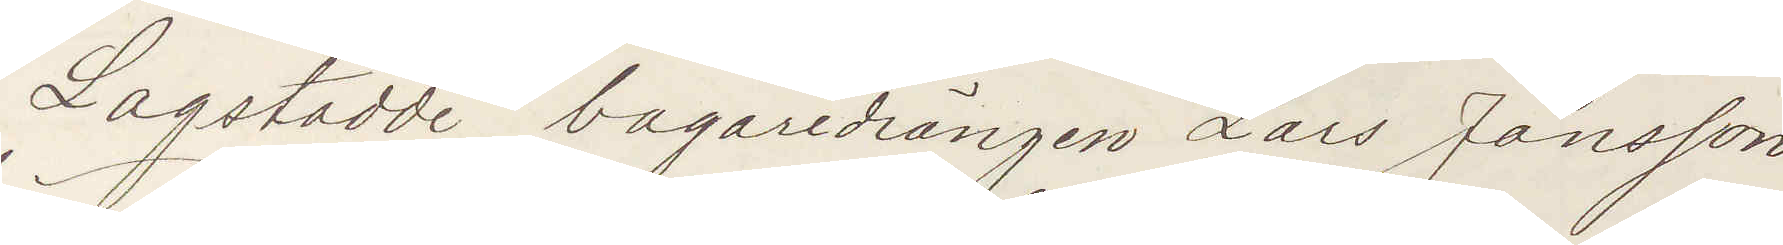Lagstadde bagaredrängen Lars Jansson
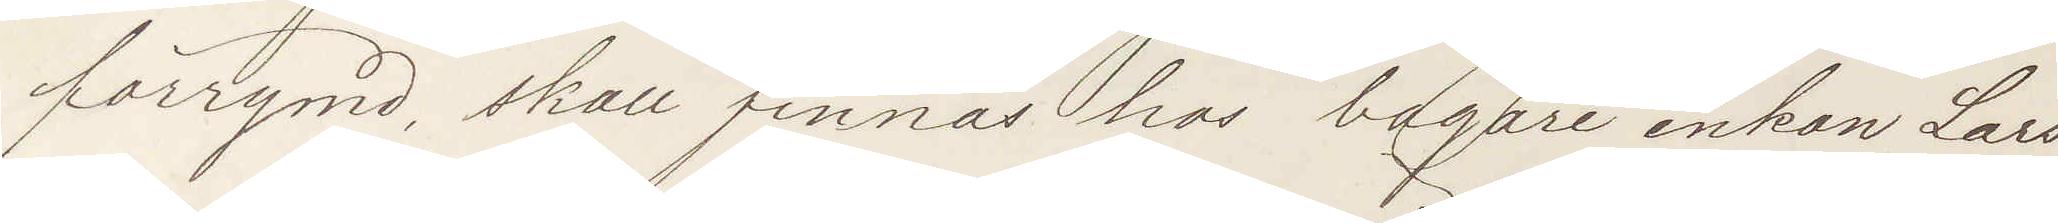förrymd, skall finnas bagare enkan Lars¬
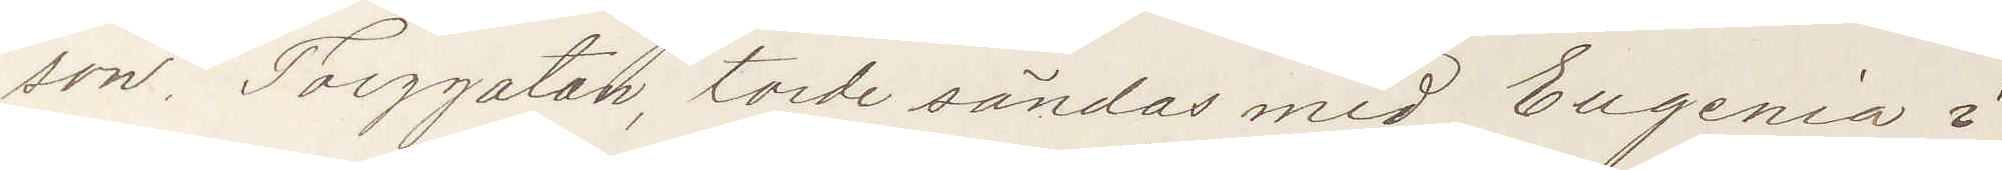son, Torggatan, torde sändas med Eugenia i¬
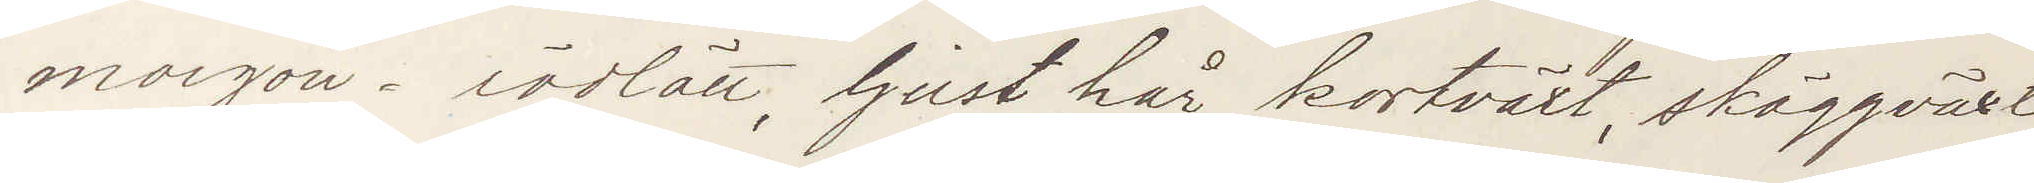morgon. rödlätt, ljust hår, kortväxt, skäggväxt,
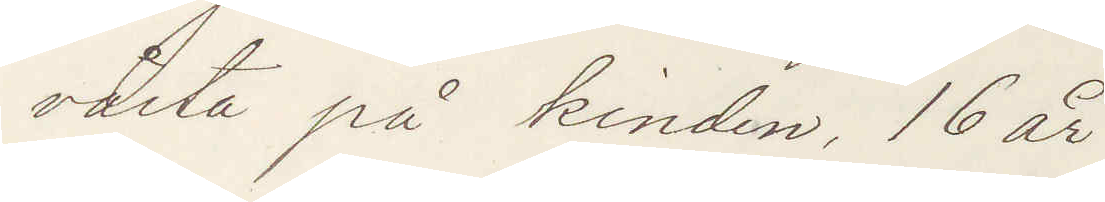vårta på kinden, 16 år.
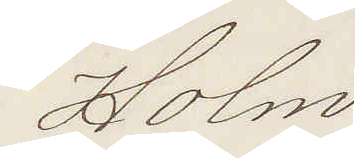Holm
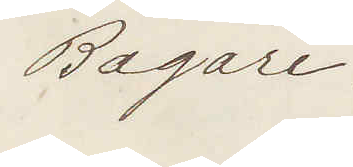Bagare.
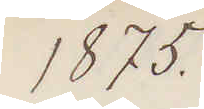1875.
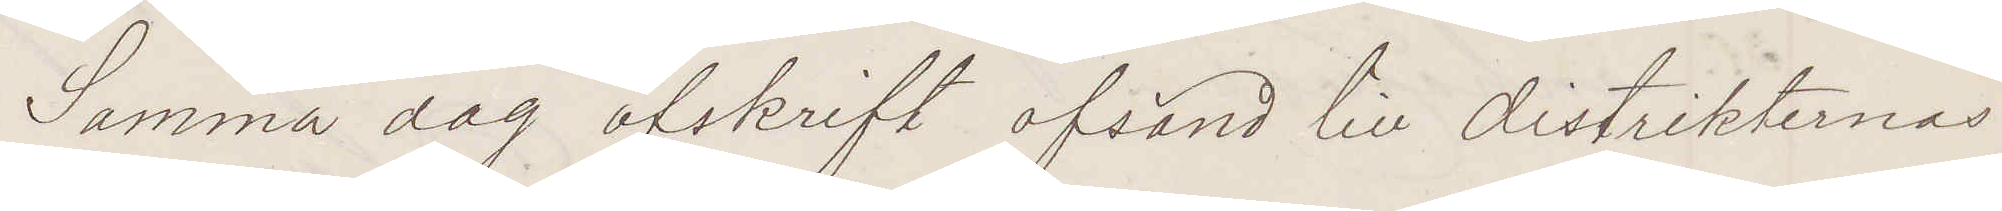Samma dag afskrift afsänd till distrikternas
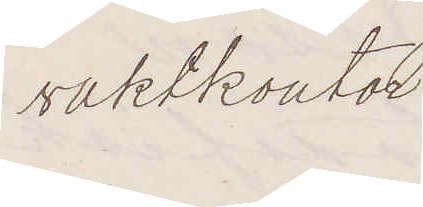vaktkontor
